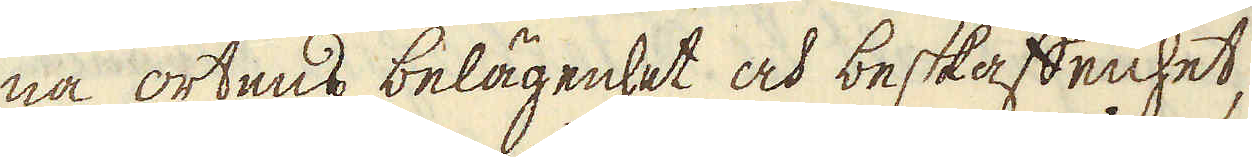na ortens belägenhet och beskaffenhet,
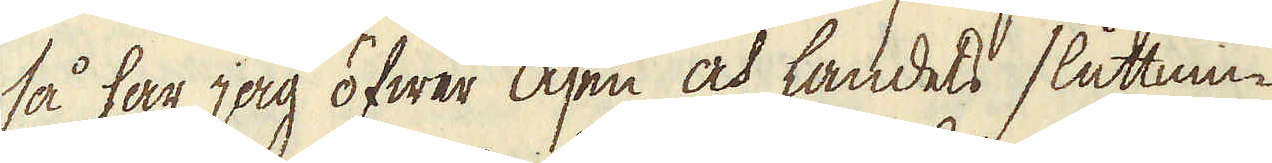så har jag öfwer åsen och landets sluttnin-
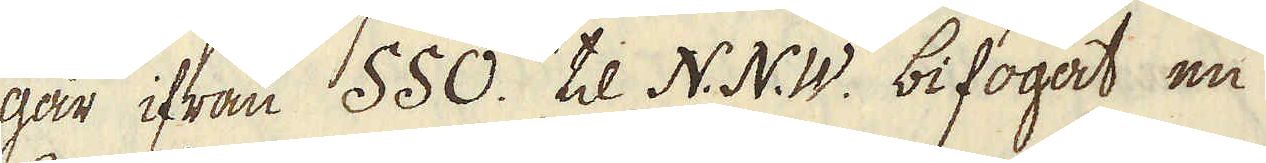gar ifrån SSO. til N.N.W. bifogat en
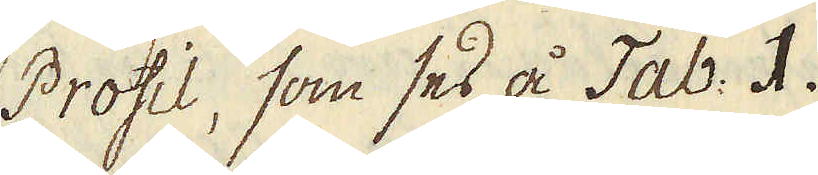Profil, som ses å Tab: I.
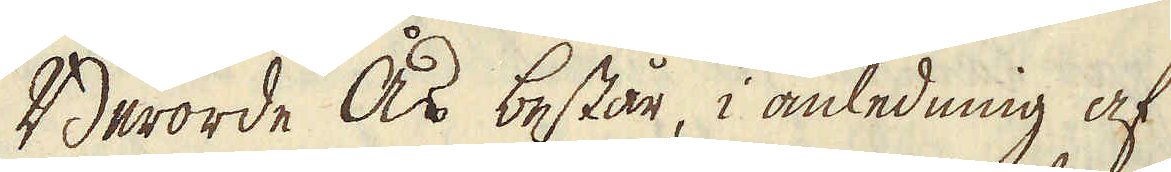Berörde Ås består, i anledning af
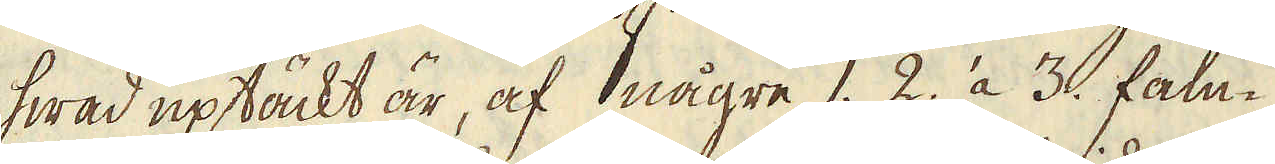hwad uptäckt är, af någre 1. 2. à 3. fam-
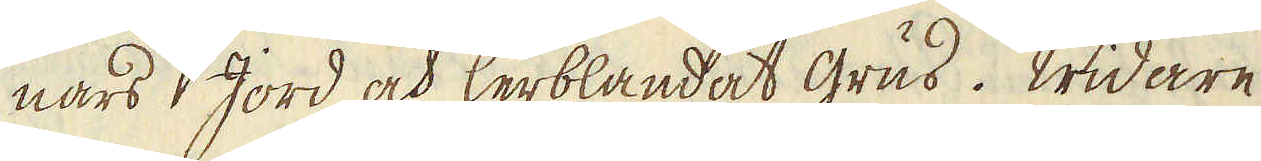nars Jord och lerblandat grus. Widare
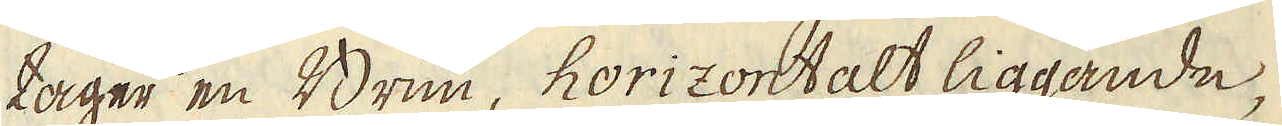tager en Brun, horizontalt liggande,
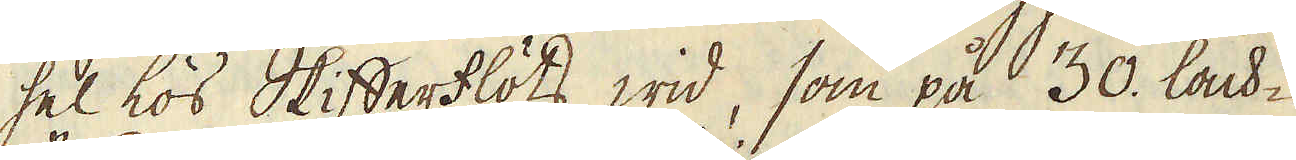hel lös Skifferflöts wid, som på 30. lack-
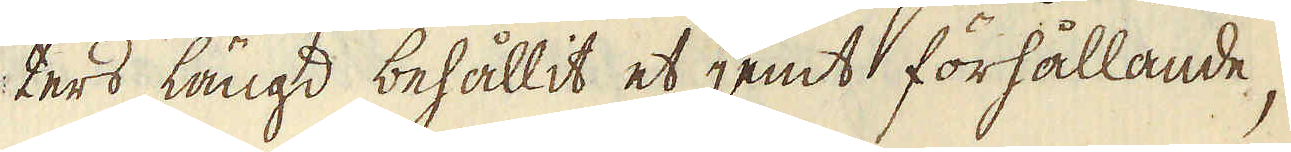ters längd behållit et jemt förhållande,
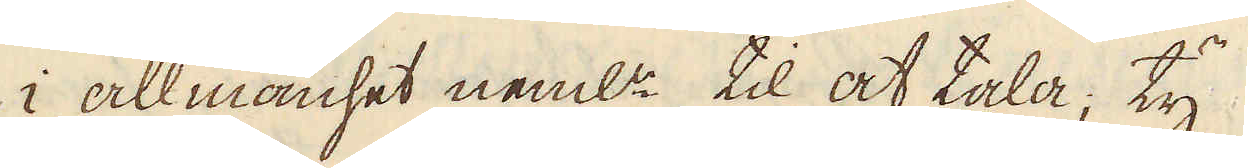i allmänhet neml:n til at tala; ty
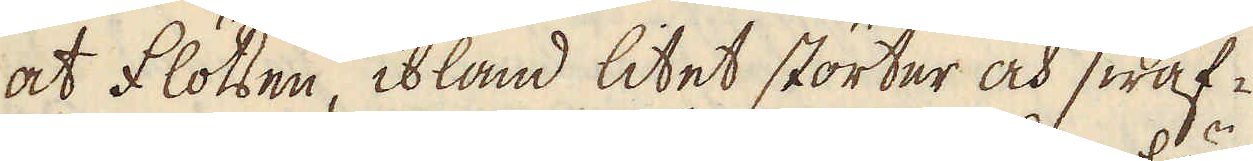at flötsen, ibland litet störter och swäf-
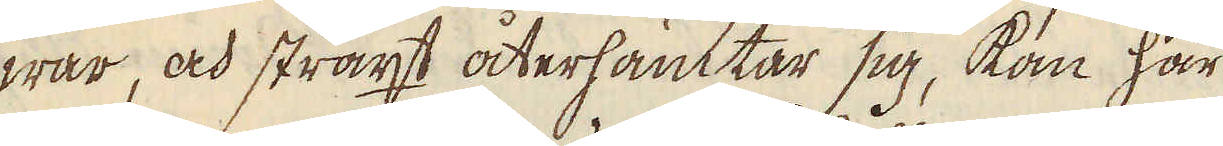war, och straxt återhämtar sig, kan här
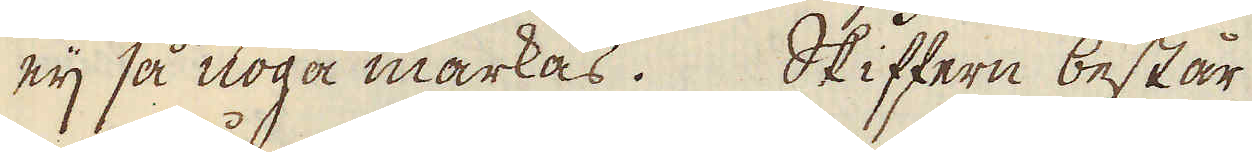eij så noga märkas. Skiffern består
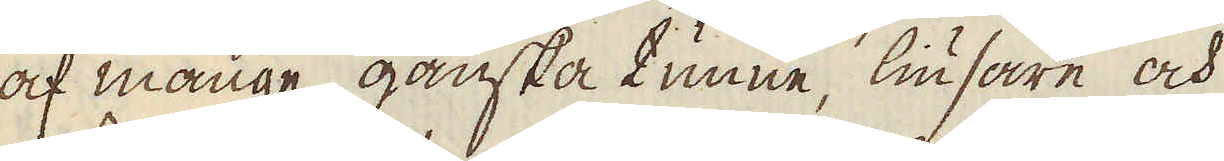af månge ganska tunne, liusare och
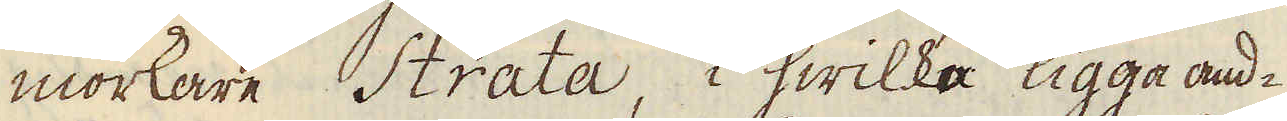morkare Strata, i hwilka ligga and-
